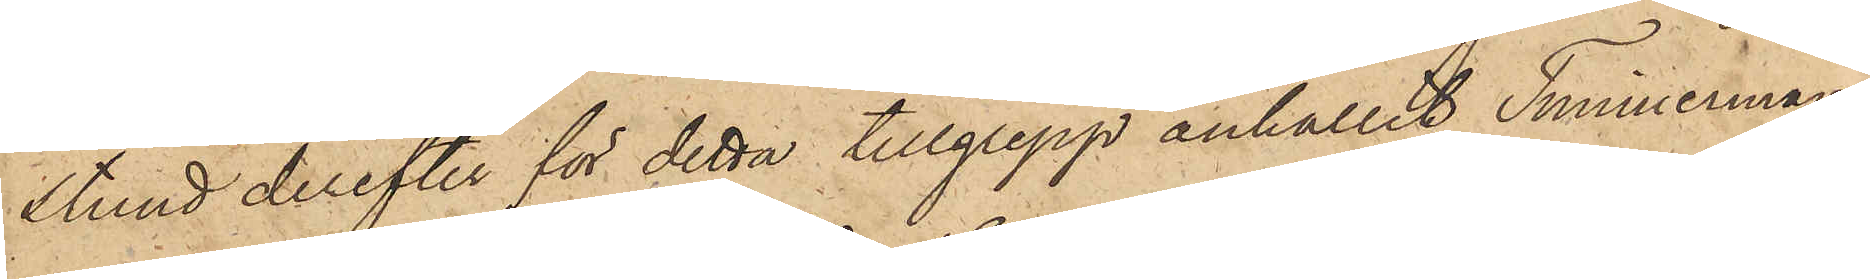stund derefter för detta tillgrepp anhållit Timmerman¬
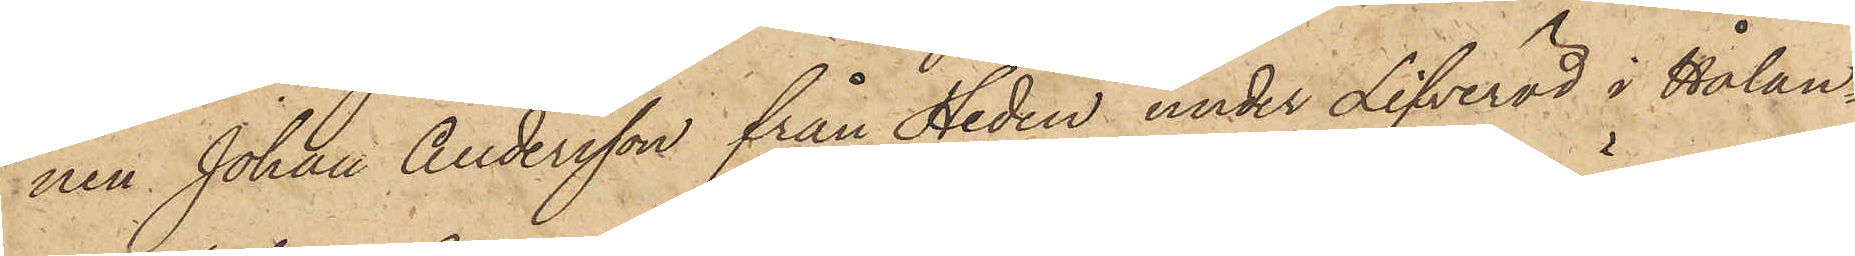nen Johan Andersson från Heden under Lifveröd i Hålan¬
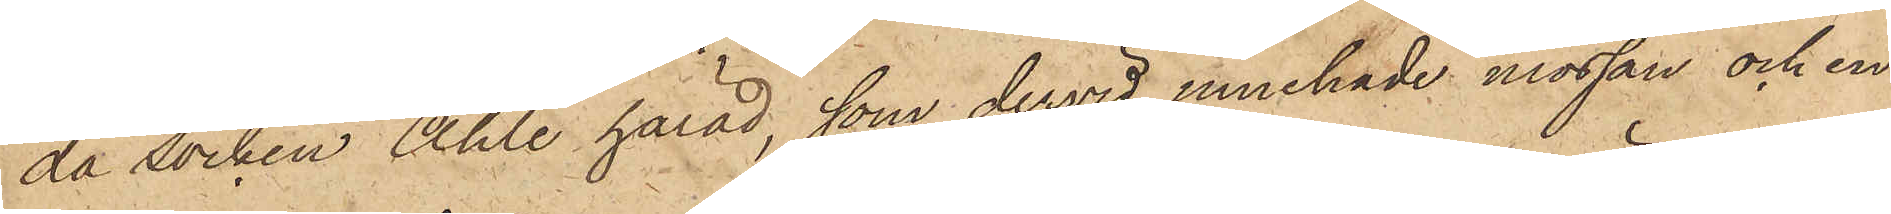da socken Ahle härad, som dervid innehade mössan och en
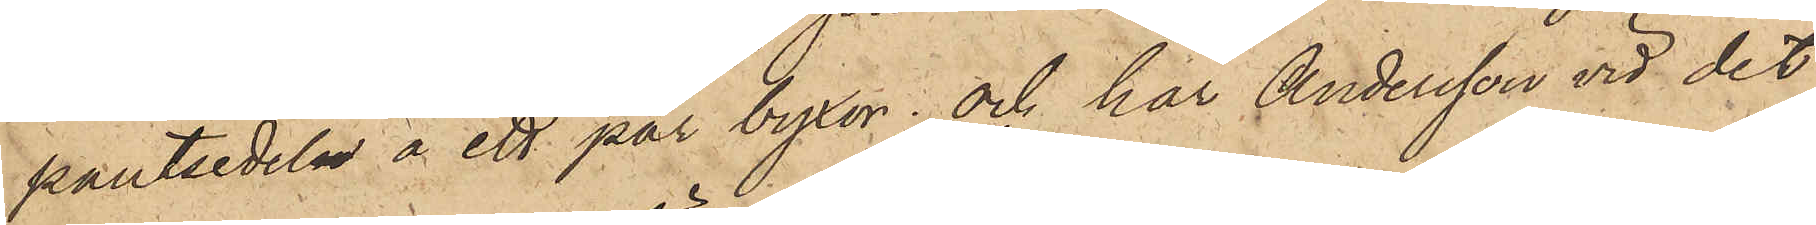pantsedeln å ett par byxor; och har Andersson vid det
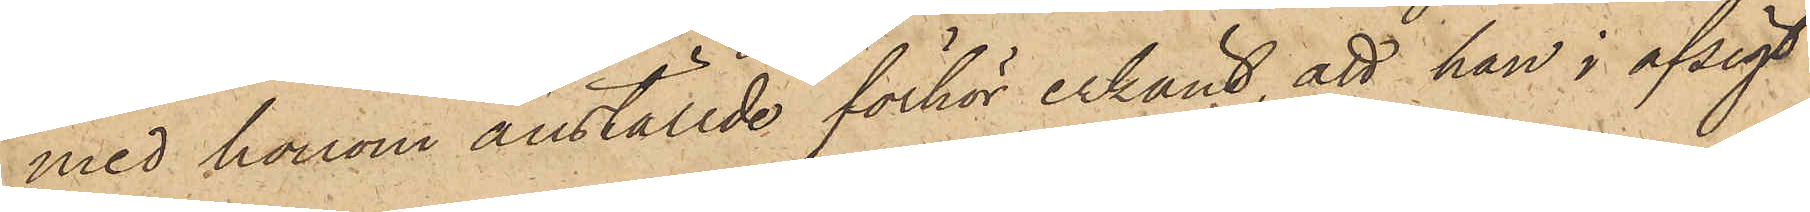med honom anställde förhör erkänt, att han i afsigt
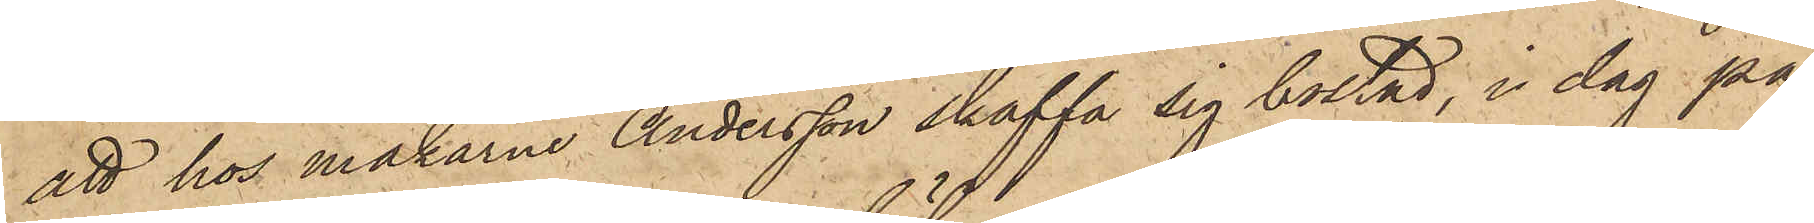att hos makarne Andersson skaffa sig bostad, i dag på
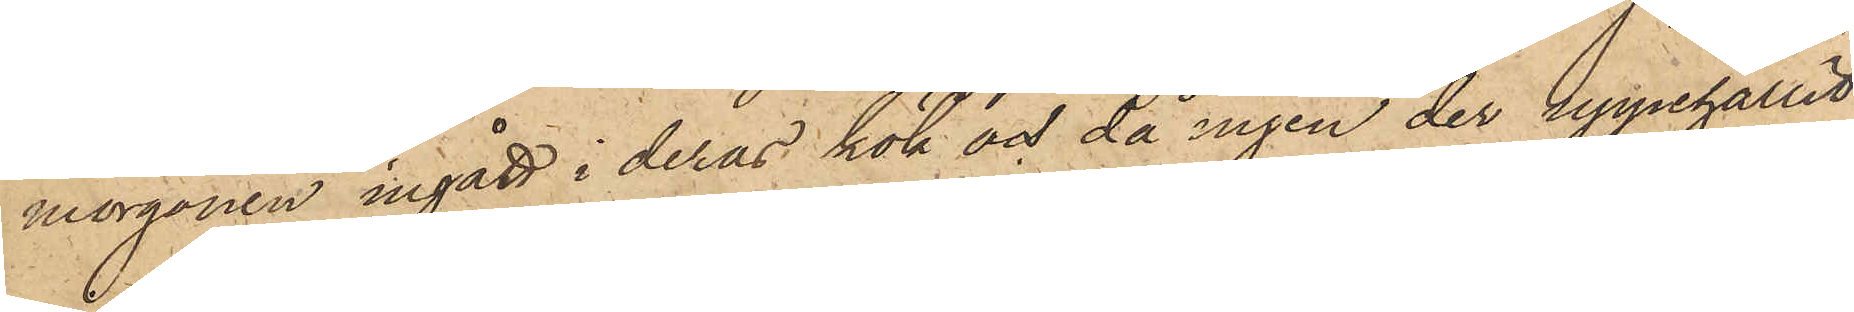morgonen ingått i deras kök och då ingen der uppehållit
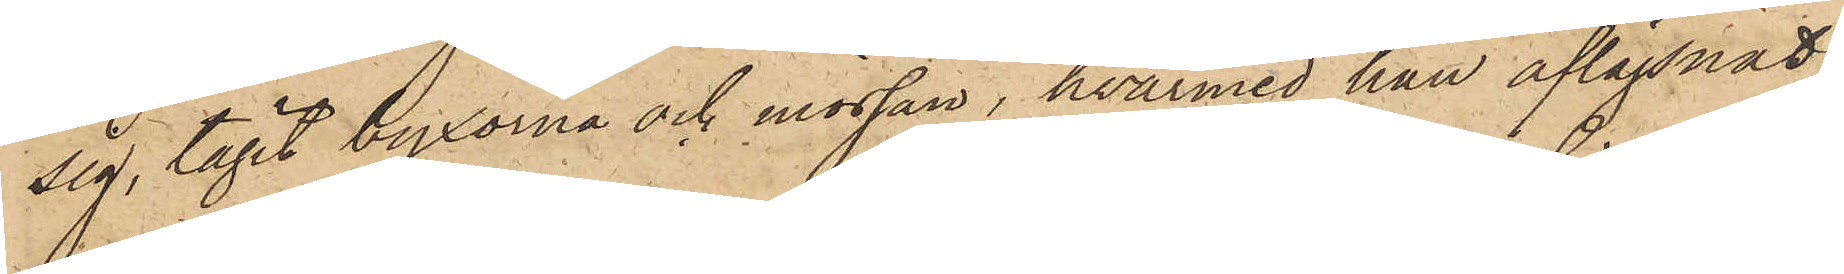sig, tagit byxorna och mössan, hvarmed han aflägsnat
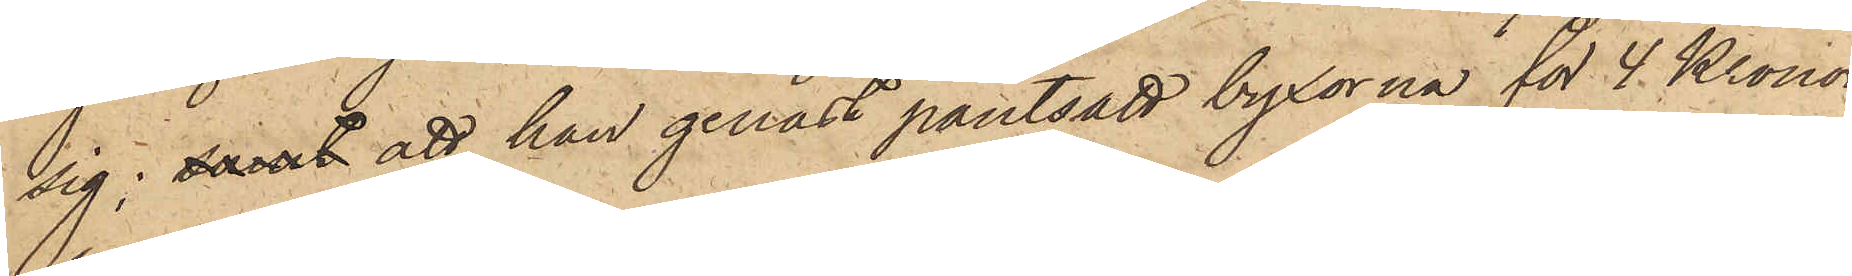sig; samt att han genast pantsatt byxorna för 4 Kronor
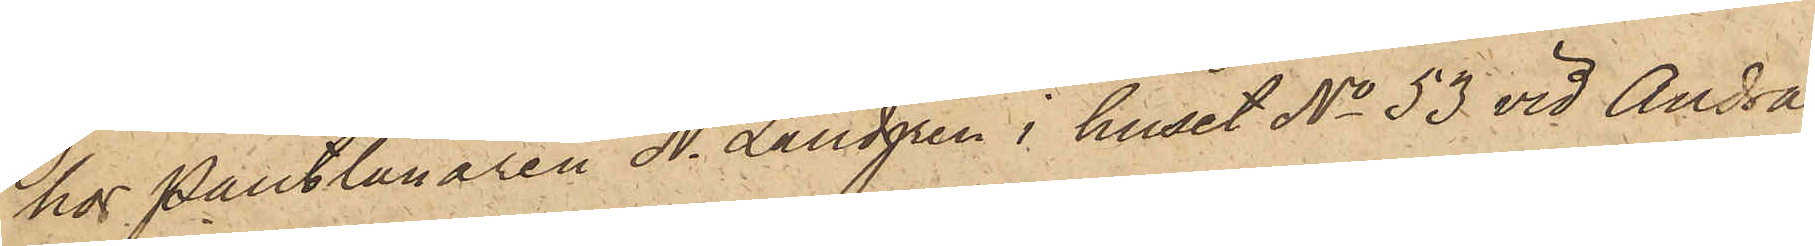hos Pantlånaren N. Landgren i huset No 53 vid Andra
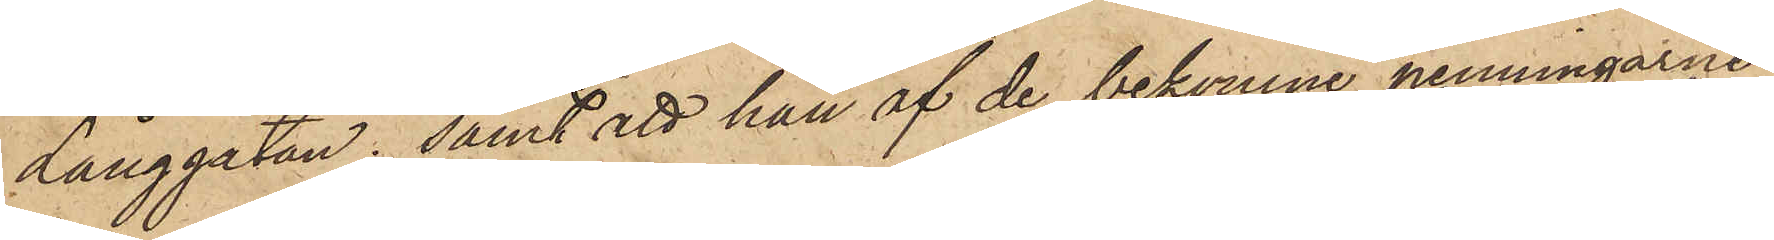Långgatan; samt att han af de bekomne penningarne
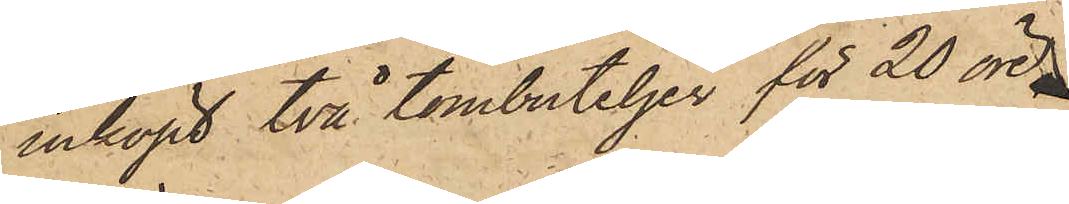inköpt två tombuteljer för 20 öre
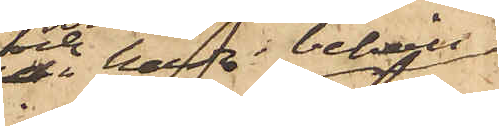och hade i behåll
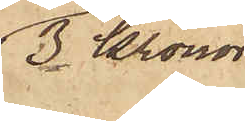3 Kronor
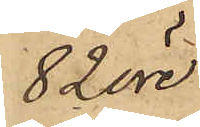82 öre.
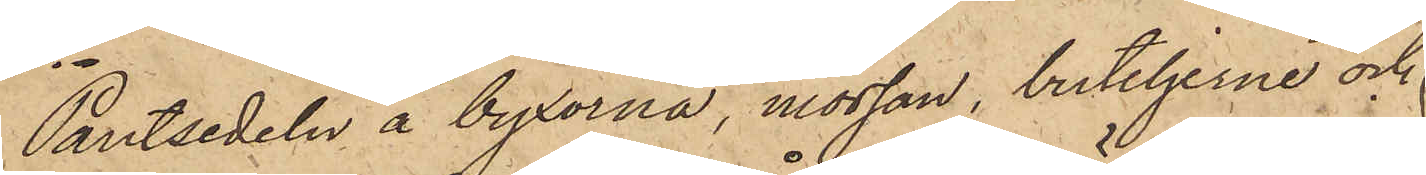Pantsedeln å byxorna, mössan, buteljerne och
